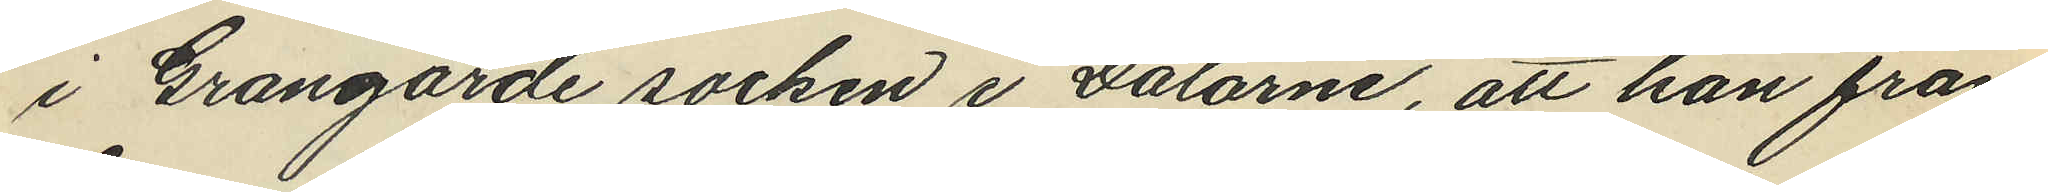i Grangärde socken i Dalarne, att han från
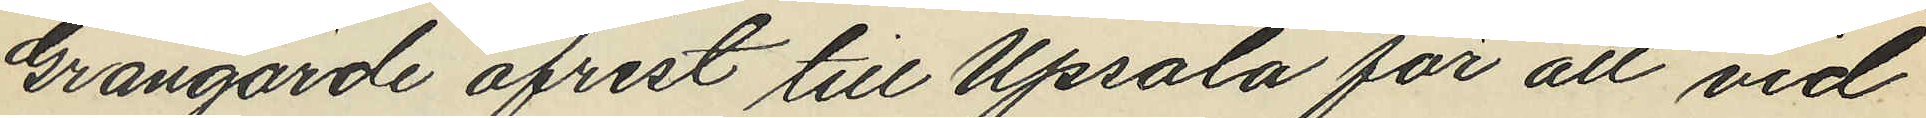Grangärde afrest till Upsala för att vid
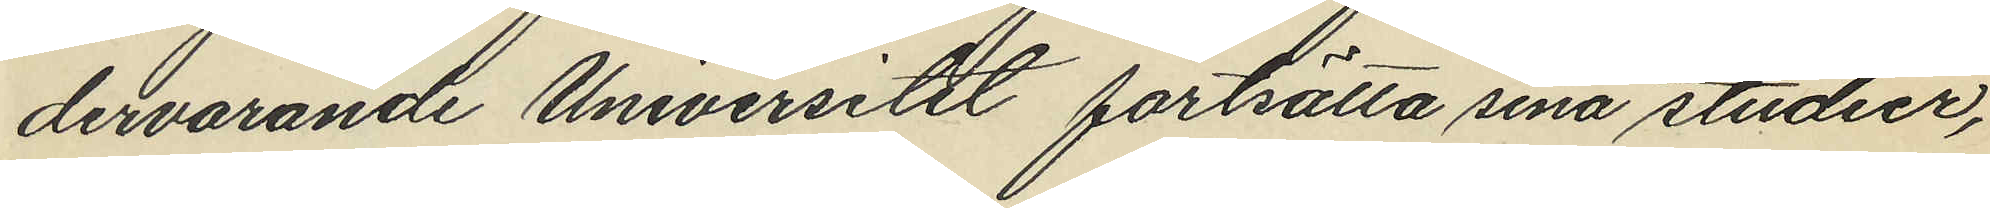dervarande Universitet fortsätta sina studier,
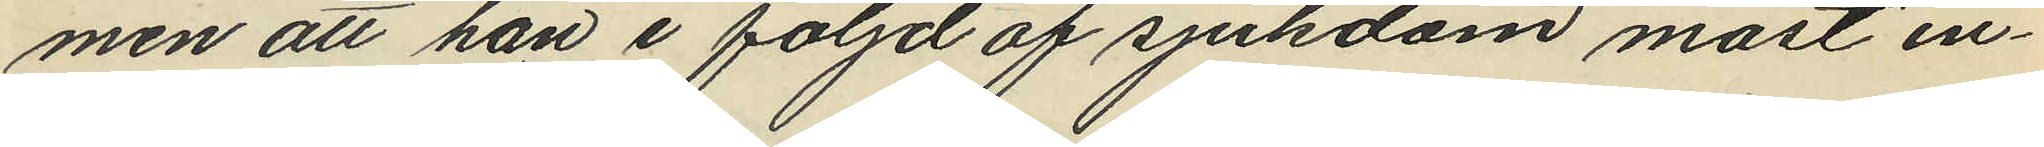men att han i följd af sjukdom måst in¬
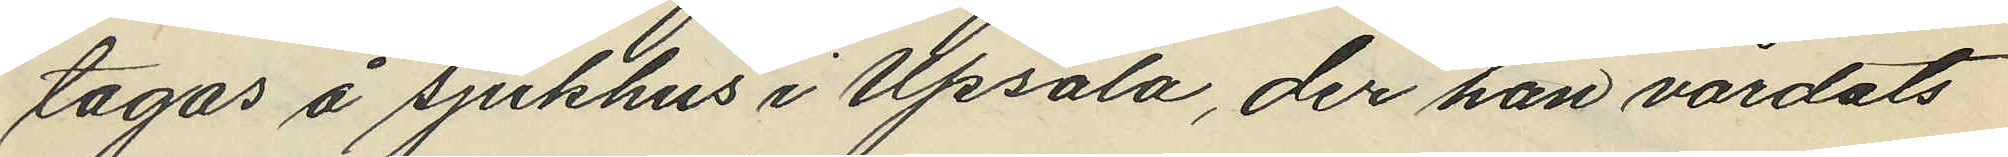tagas å sjukhus i Upsala, der han vårdats
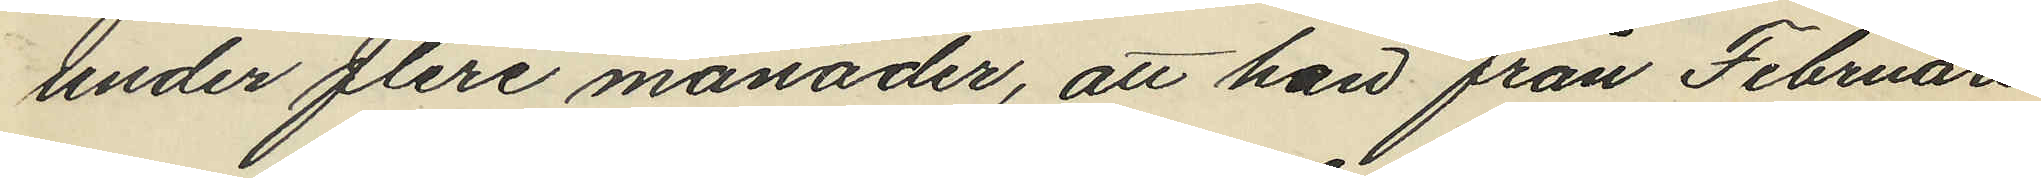under flere månader, att han från Februari
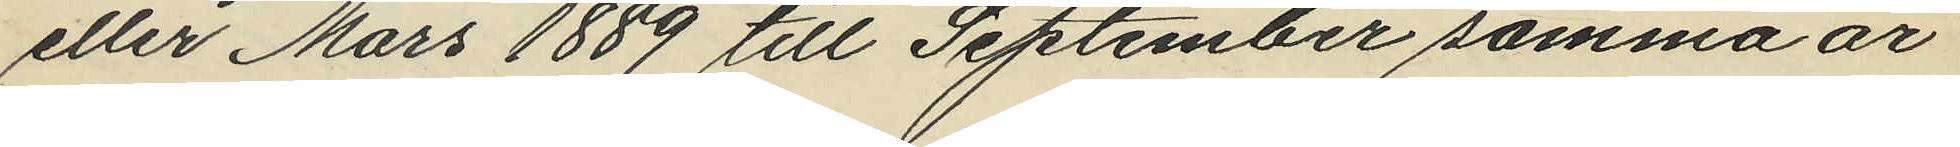eller Mars 1889 till September samma år
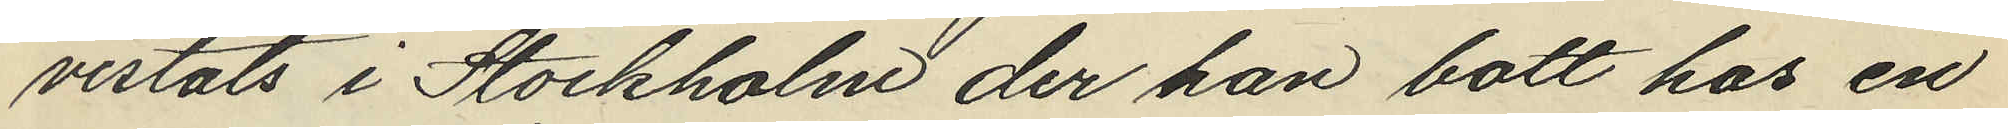vistats i Stockholm der han bott hos en
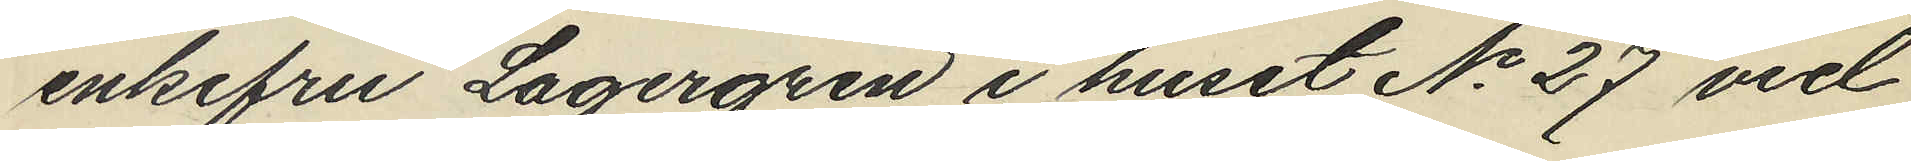enkefru Lagergren i huset No 27 vid
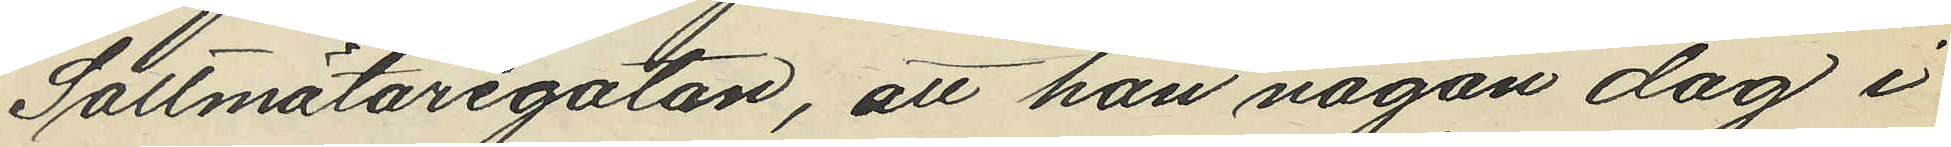Saltmätaregatan, att han någon dag i
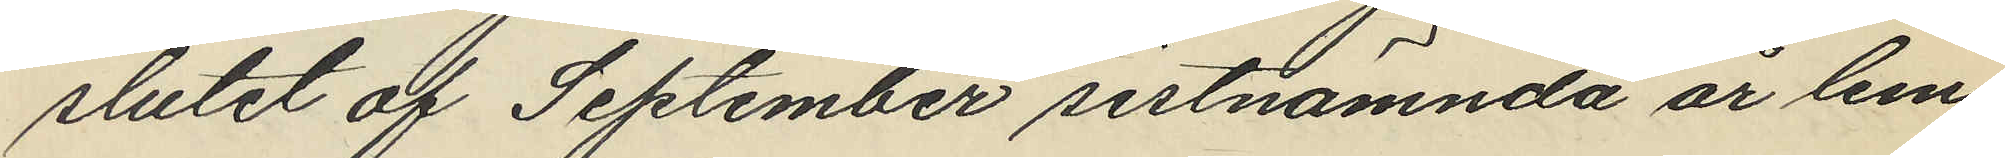slutet af September sistnämnda år lem¬
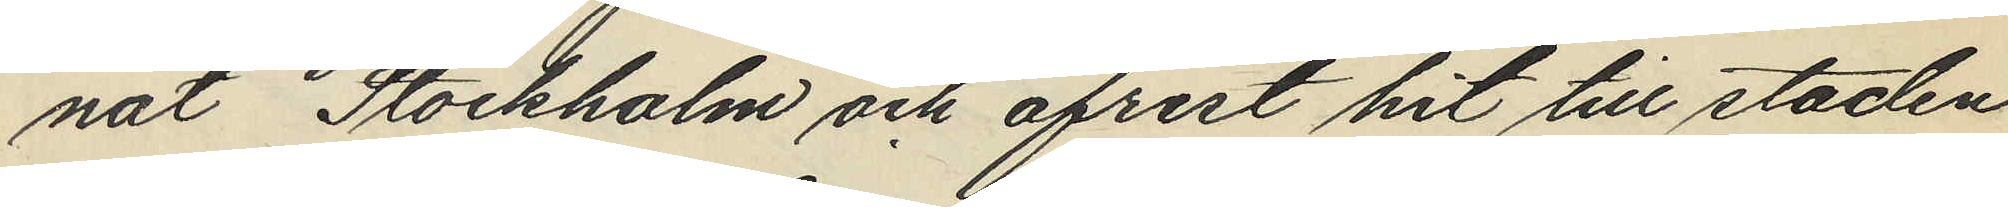nat Stockholm och afrest hit till staden
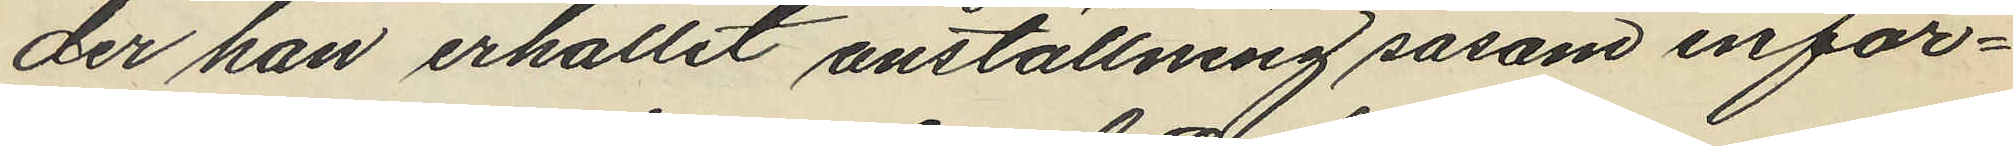der han erhållit anställning såsom infor¬
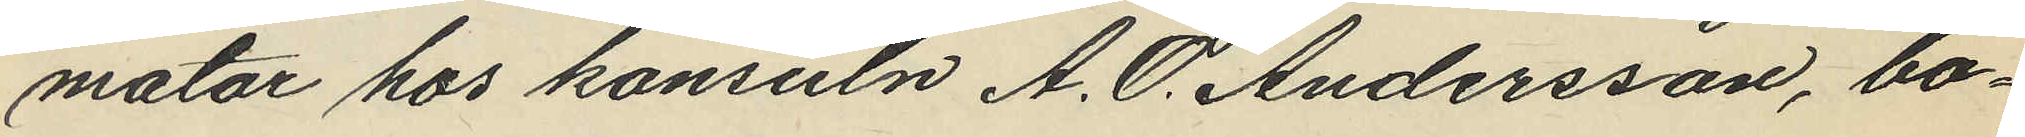mator hos konsuln A. O. Andersson, bo¬
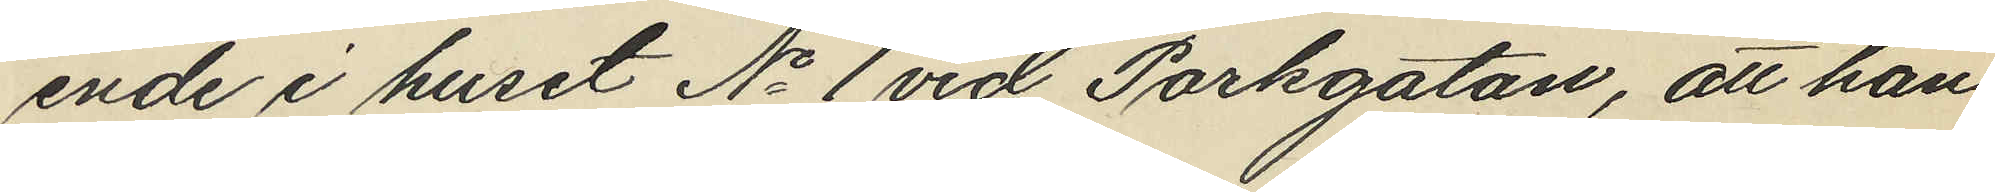ende i huset No 1 vid Parkgatan, att han
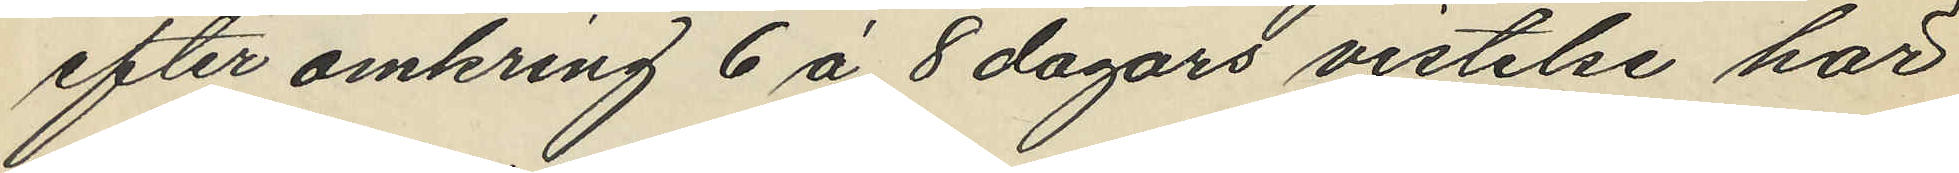efter omkring 6 á 8 dagars vistelse här
